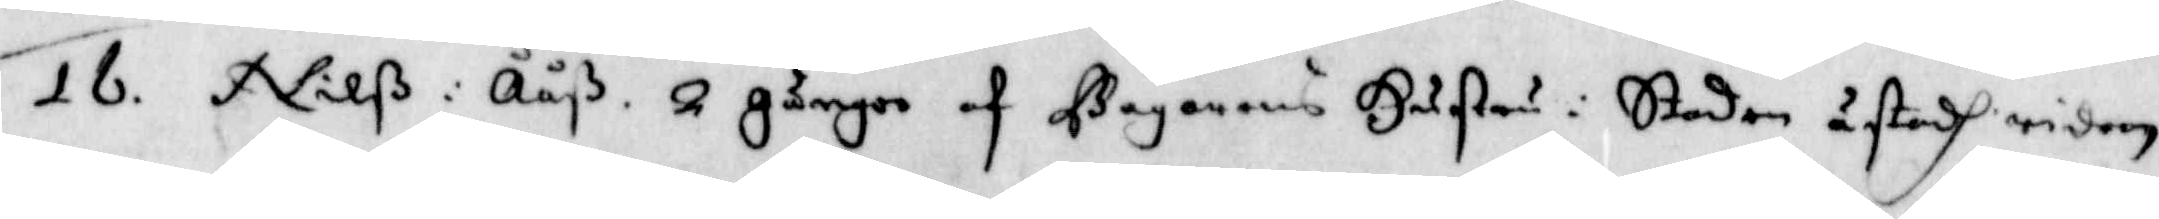16. Nilß i Ååß, 2 gånger af bagarens Hustru i Staden åstadh riden.
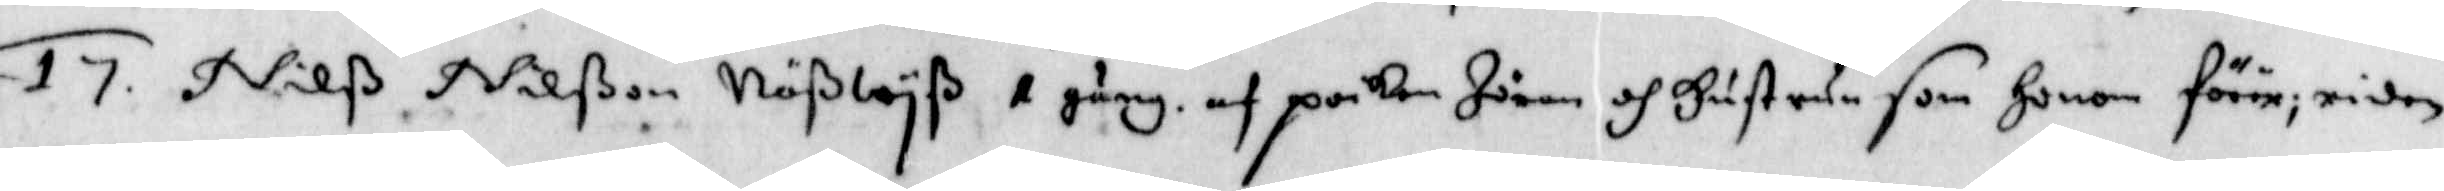17. Nilß Nilßon Näßwyß 1 gång af poiken Jöran och Hustrun som Honom förer; riden.
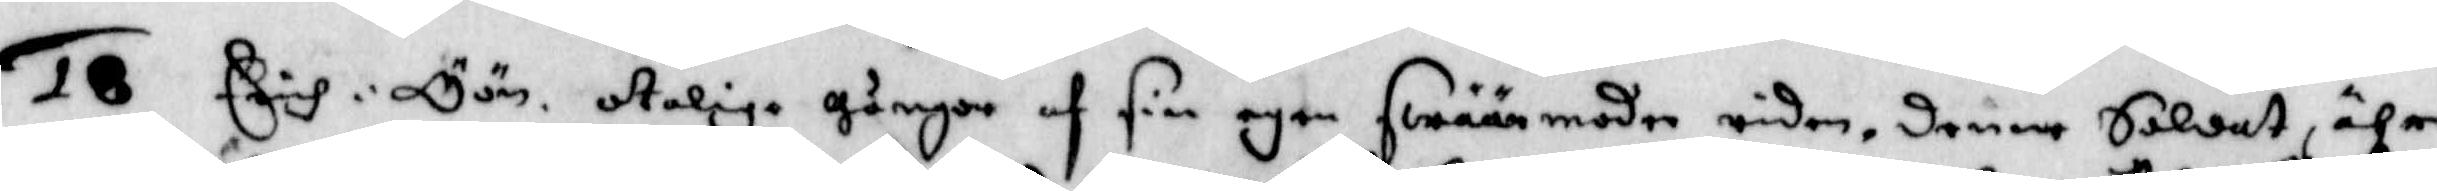18 Erich i Öön otalige gånger af sin egen swäärmoder riden, denne Soldat, ähre
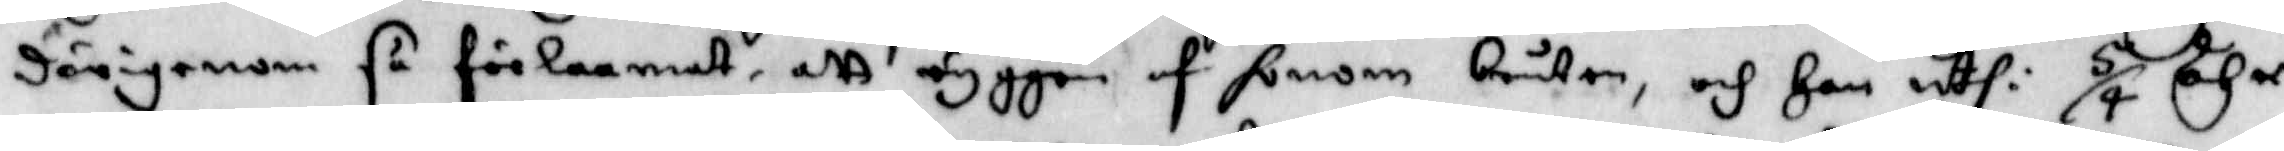därigenom så förlaamat, att ryggen af honom bruten, och Han uthi 5/4 åhr
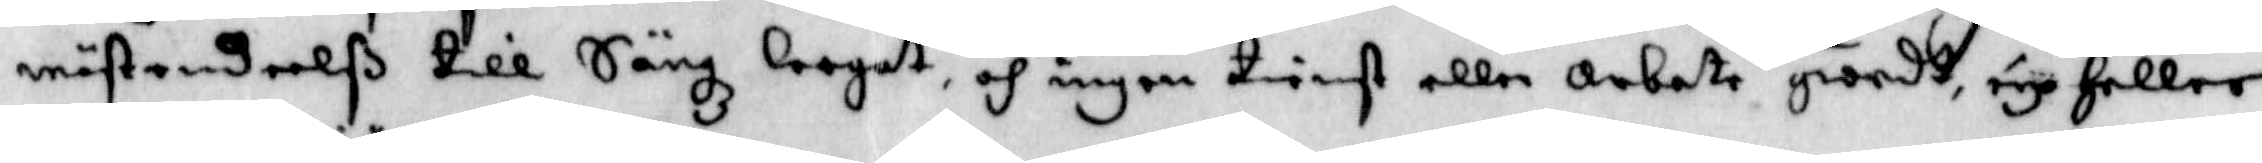mästendeelß till Sängz leegat, och ingen tienst eller Arbete giordt, eye Heller
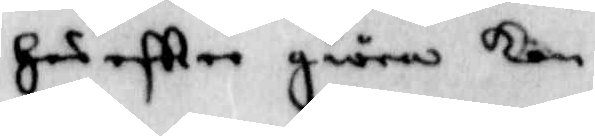Här eftter giöra kan.
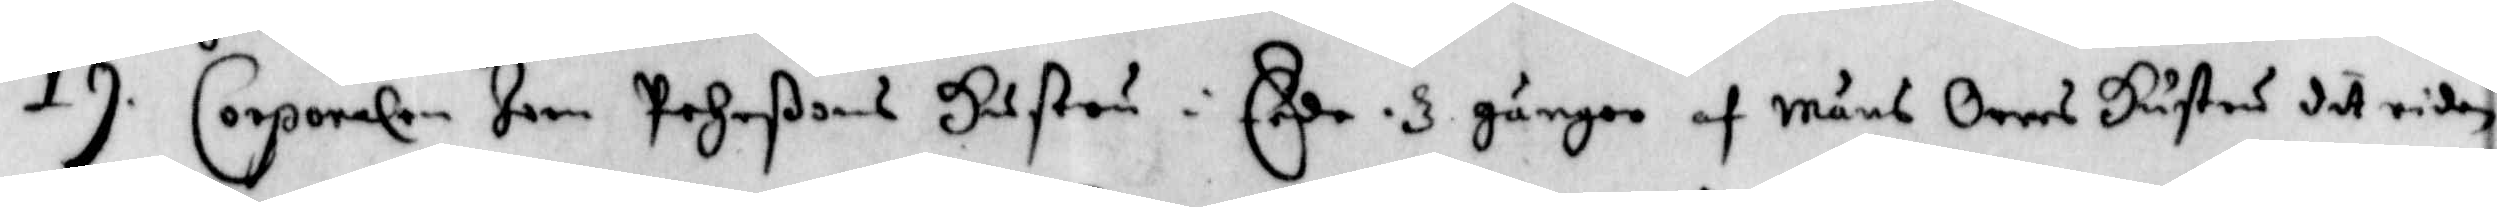19. Corporalen Joen Pehrßons Hustru i Eede, 3 gånger af Måns Orres Hustru dit riden
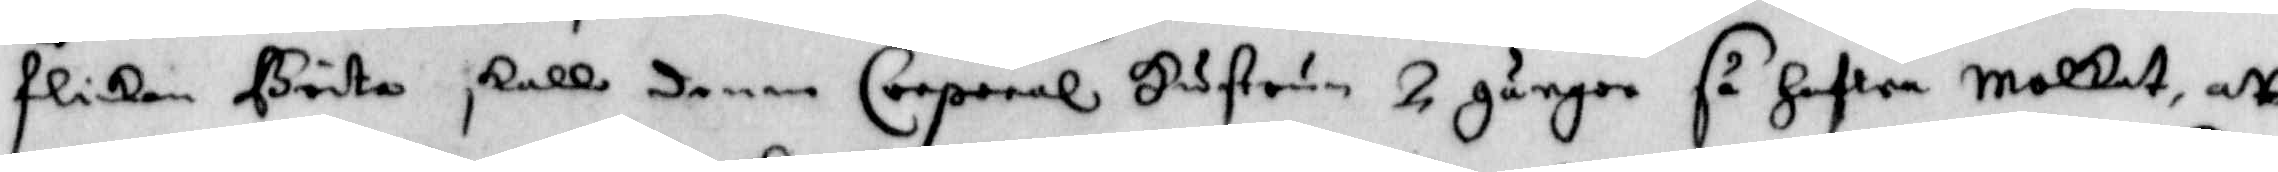flikan Brita skall denne Corporal Hustrun 2 gånger så Hafwa Molkat, att
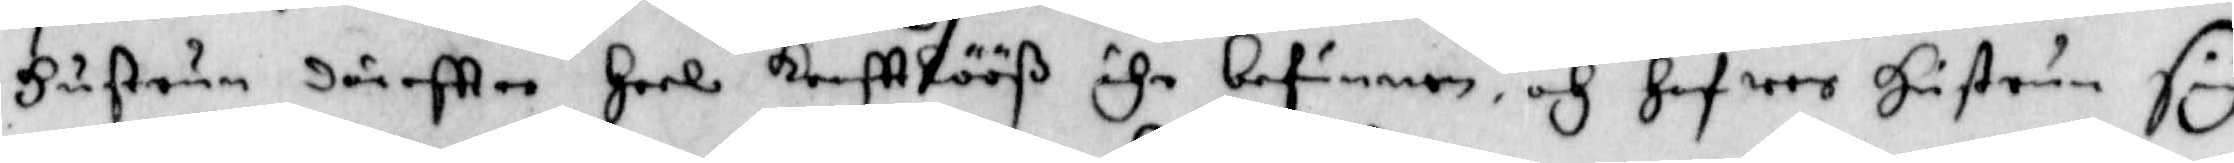Hustrun däreftter Heel krafttlööß ähr befunnen, och Hafwer Hustrun sig
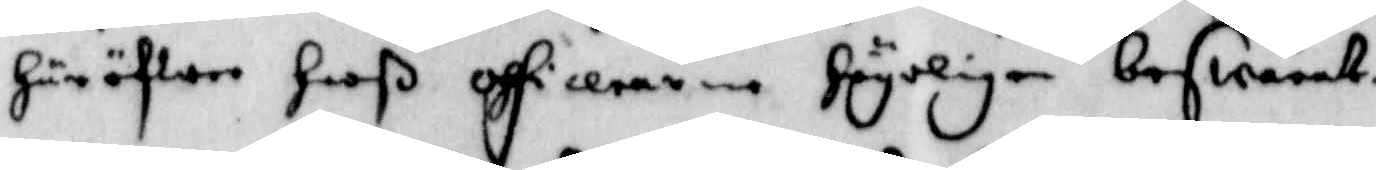Häröfwer Hooß officerarne Högeligen beswärat.
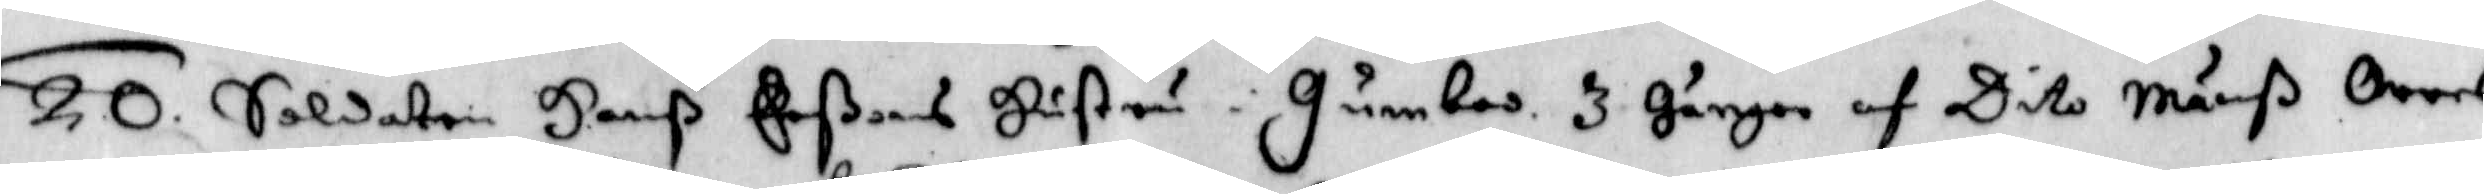20. Soldaten Hanß Erßons Hustru i Gumbos, 3 gånger af Dito Mänß Orres
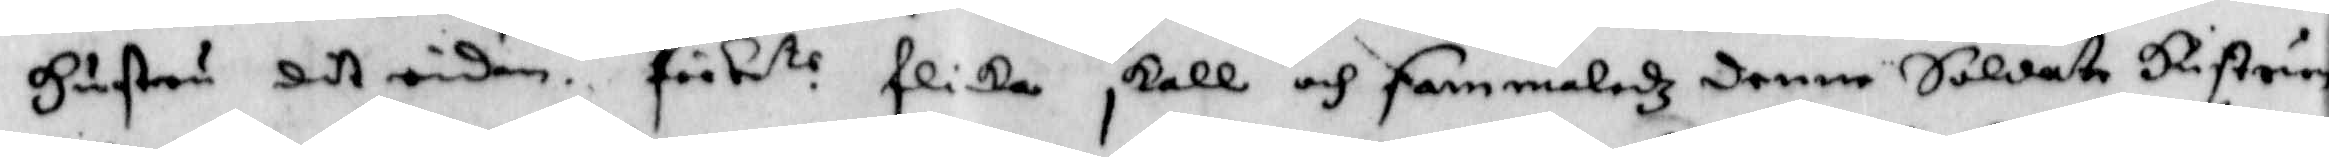Hustru dit riden, förbe.te flicka skall och sammaledz denne Soldate Hustrun
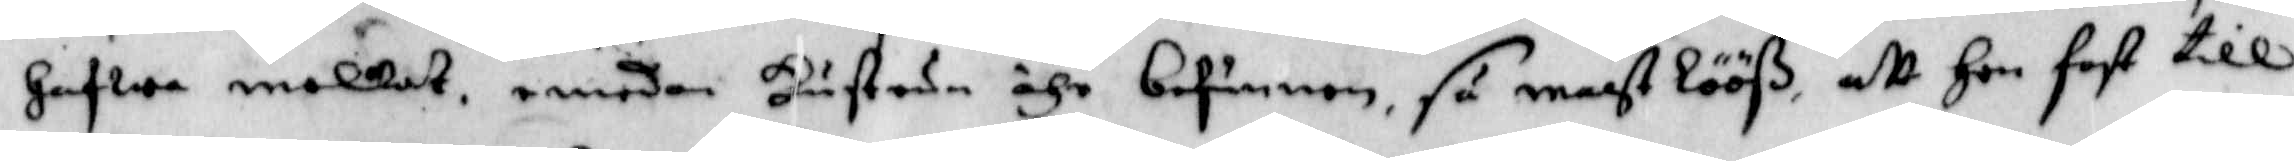Hafwa molkat, emedan Hustrun ähr befunnen, så magtlööß, att Hon fast till
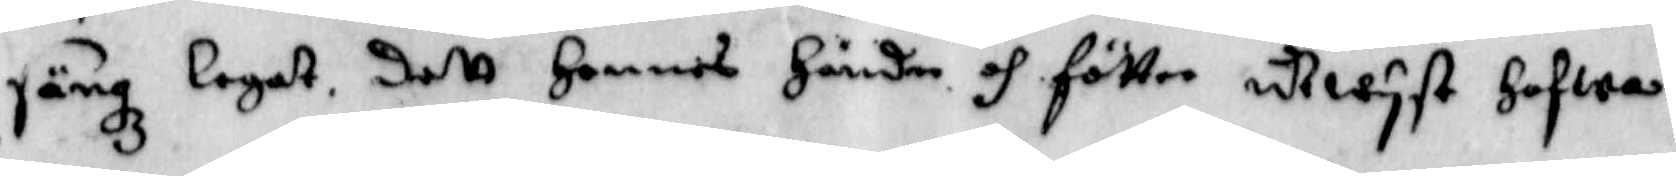sängz legat, dett Hennes Händer och fötter utwyst hafwa.
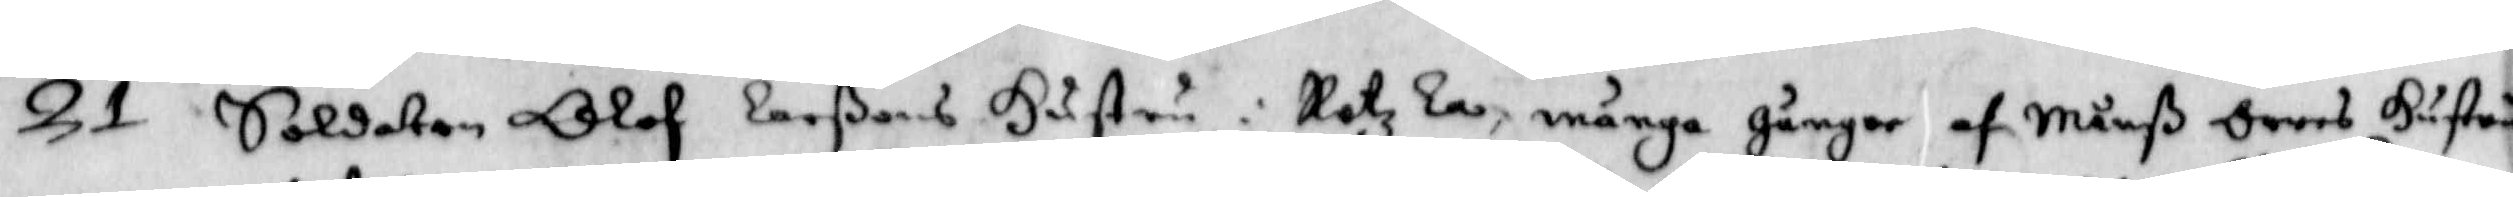21. Soldaten Olof Larßons Hustru i Rotzla, många gånger af Månß Orres Hustru
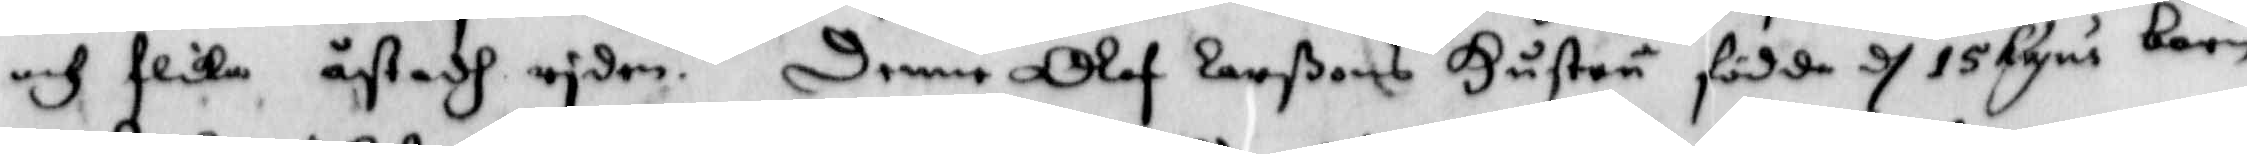och flicka ådtadh riden. Denne Olof Larßons Hustru födde d 15 hujus barn
